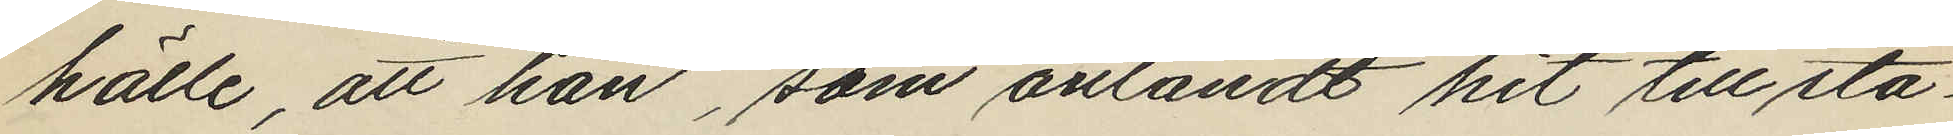hälle, att han, som anländt hit till sta¬
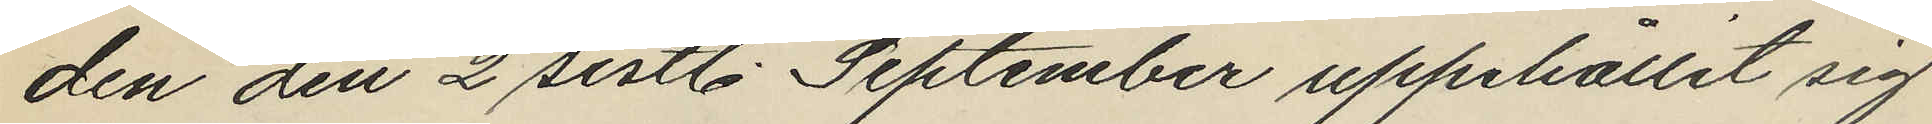den den 2 sistl. September uppehållit sig
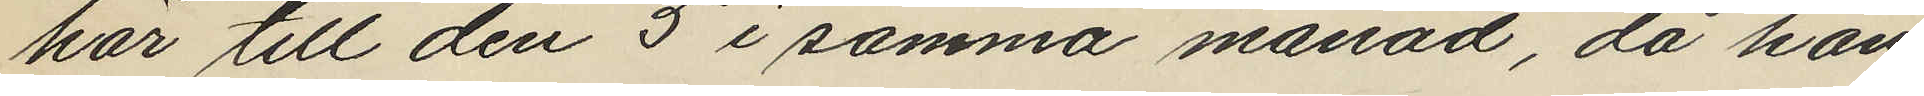har till den 5 i samma månad, då han
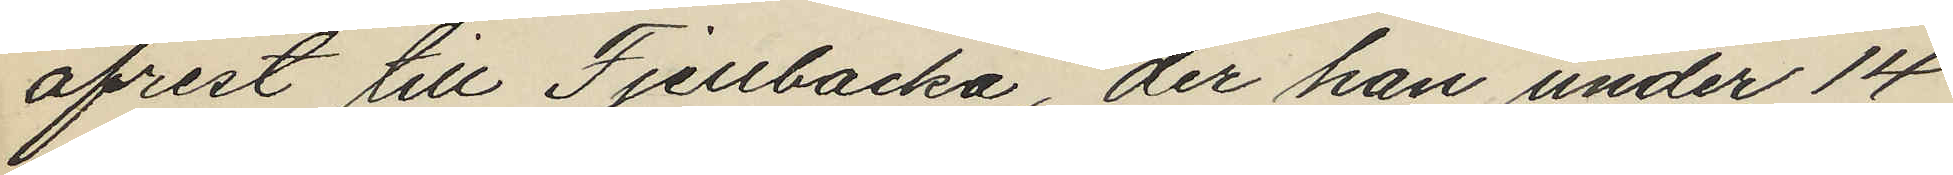afrest till Fjellbacka, der han under 14
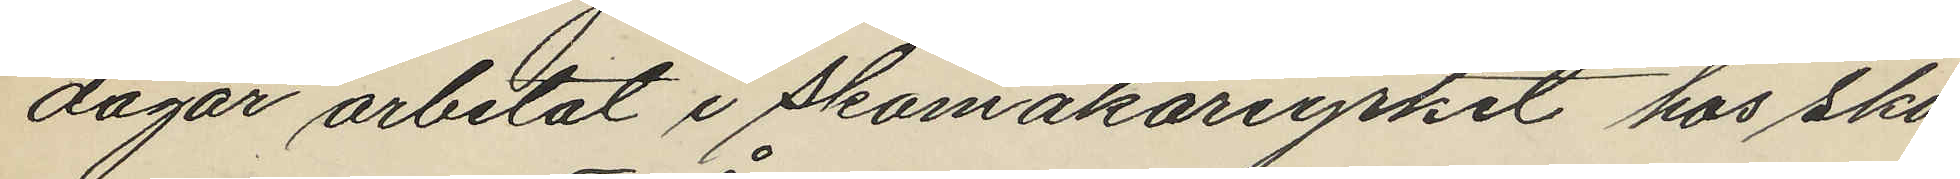dagar arbetat i skomakarriyrket hos sko¬
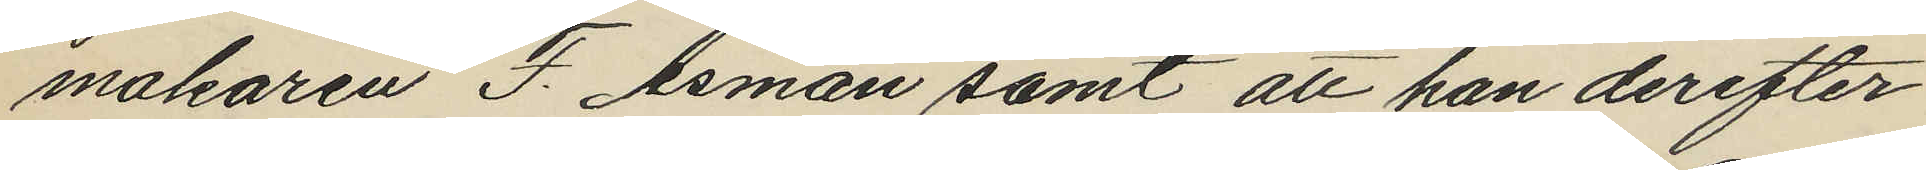makaren F. Åsman samt att han derefter
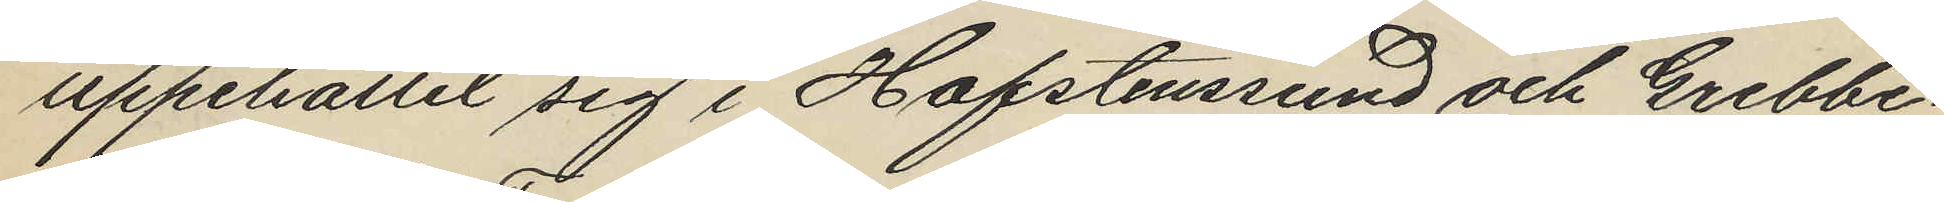uppehållit sig i Hafstenssund och Grebbe¬
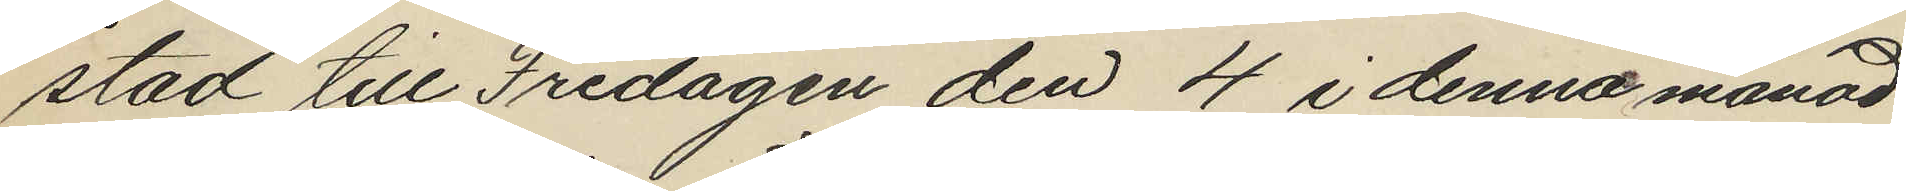stad till Fredagen den 4 i denna månad
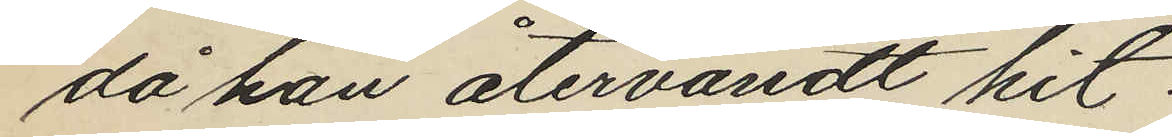då han återvändt hit.
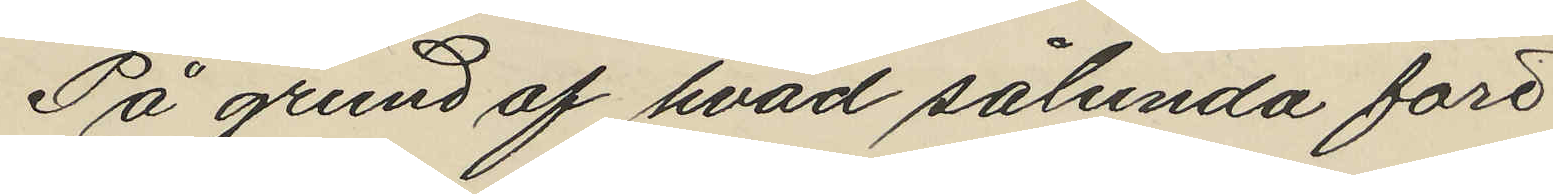På grund af hvad sålunda före
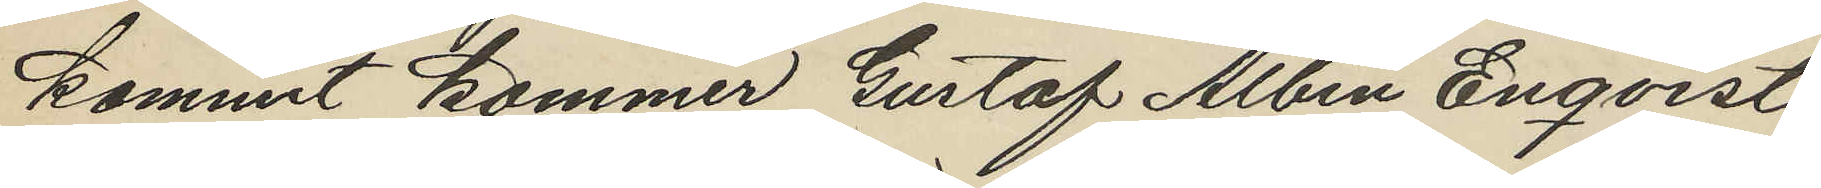kommit kommer Gustaf Albin Enqvist
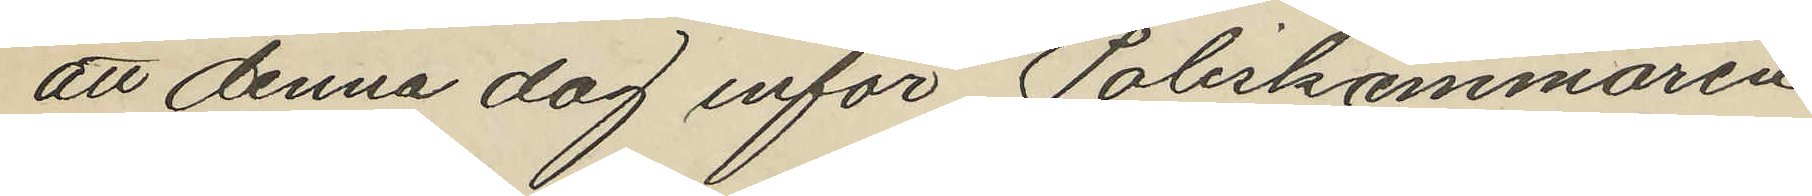att denna dag inför Poliskammaren
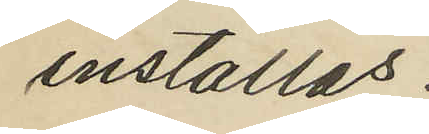inställas.
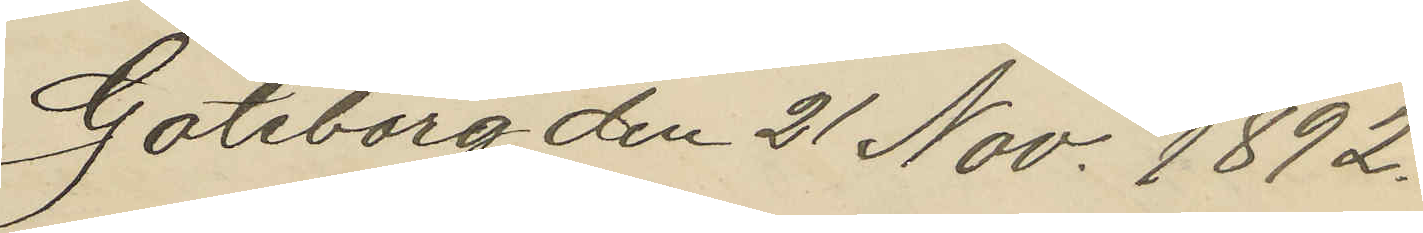Göteborg den 21 Nov. 1892.
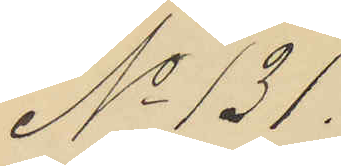No 131.
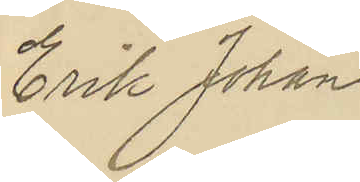Erik Johan
